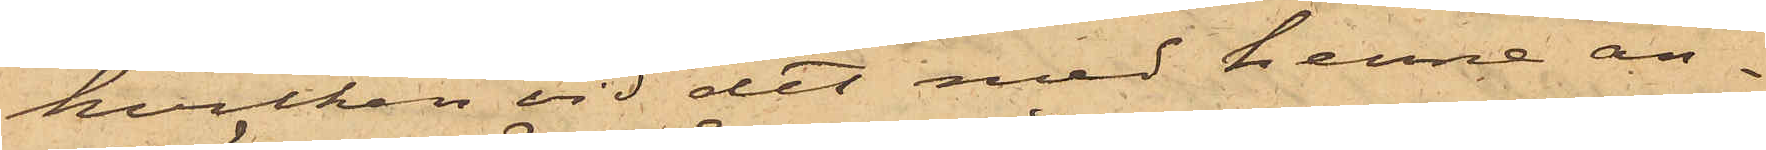hvilken vid det med henne an¬
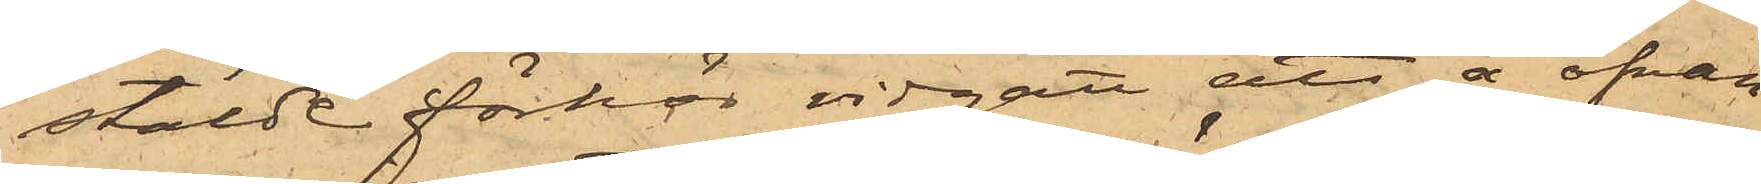stälde förhör vidgått att å ofvan¬
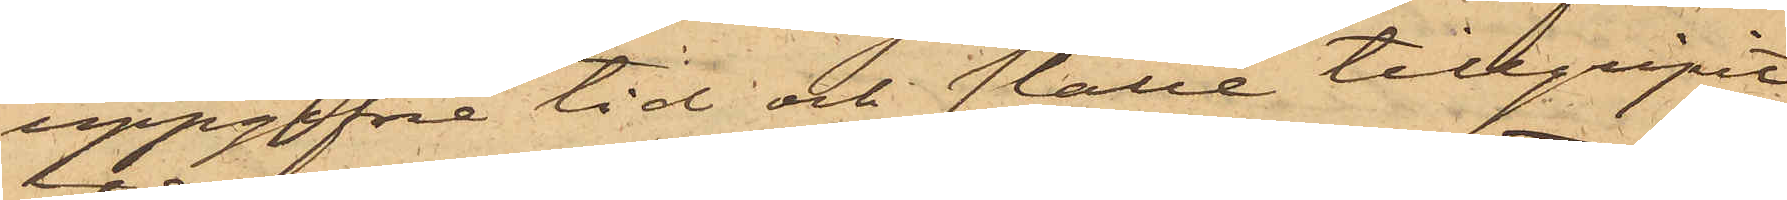uppgifne tid och ställe tillgripit
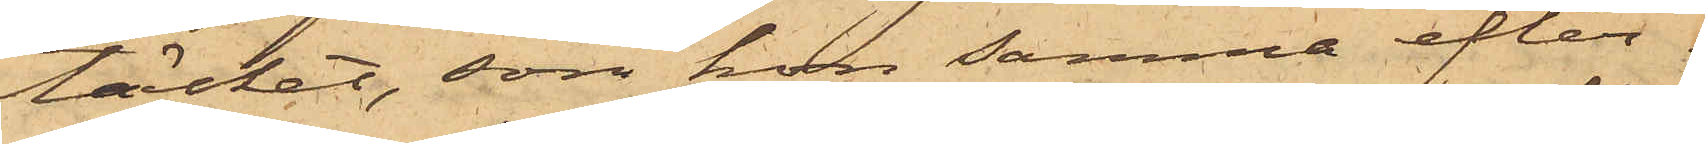täcket, som hon samma efter¬
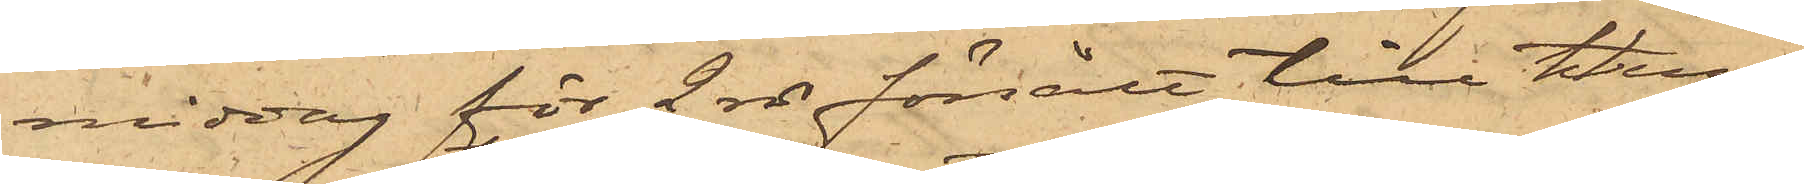middag för 2 rdr försålt till Hem¬
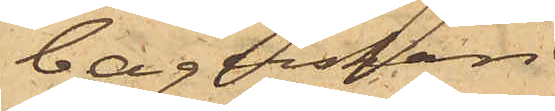bagerskan
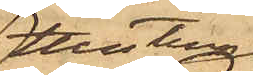Hustru
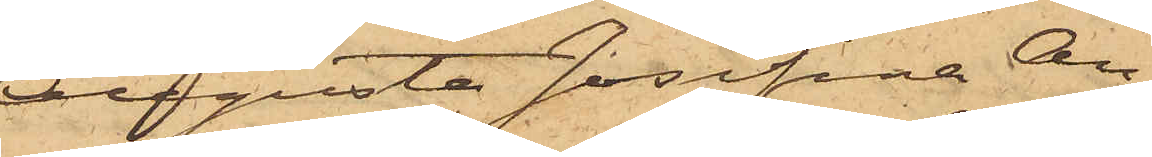Augusta Josefina An¬
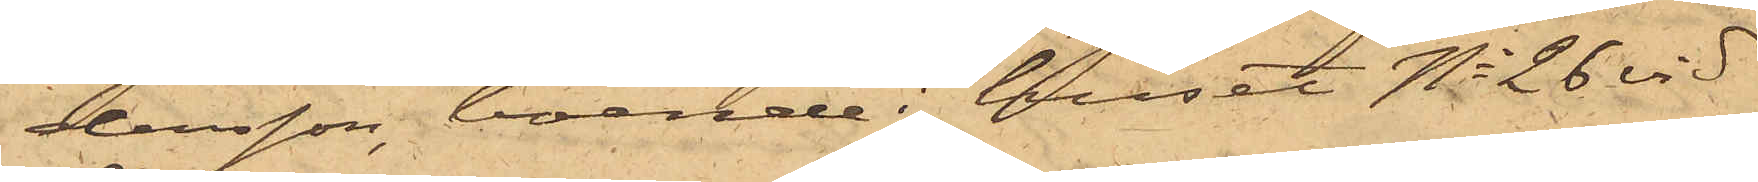dersson, boende i huset No 26 vid
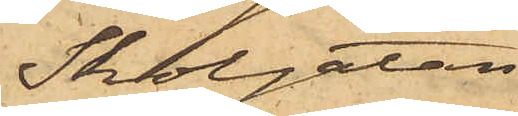Skolgatan.
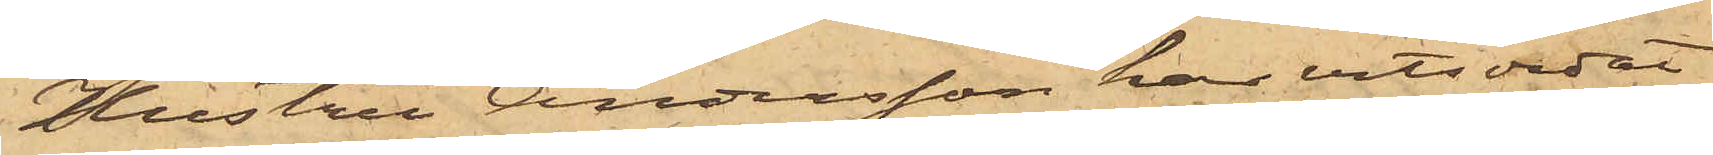Hustru Andersson har vitsordat
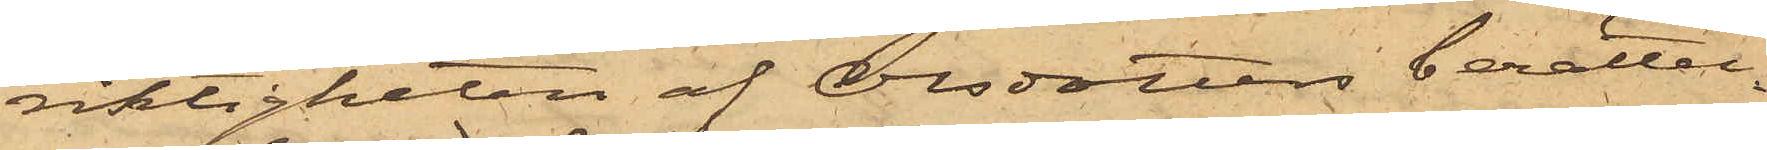riktigheten af Olsdotters berättel¬
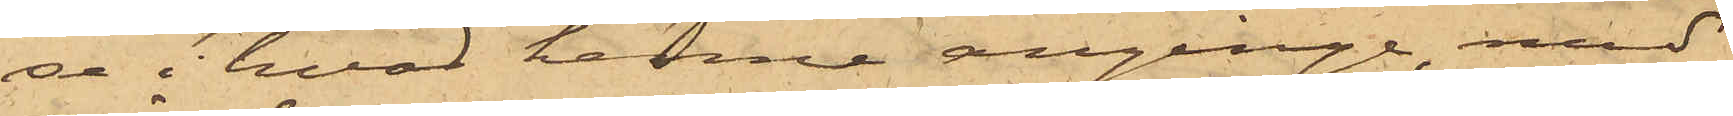de i hvad henne anginge med
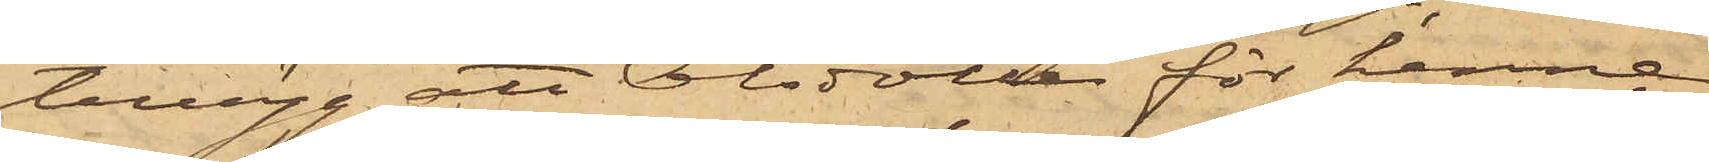tillägg att Olsdotter för henne
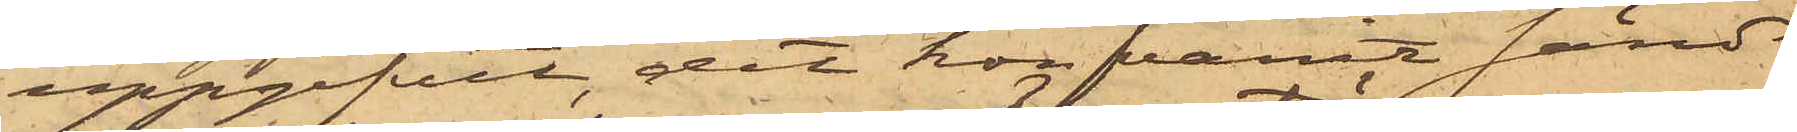uppgifvit, det hon varit sänd
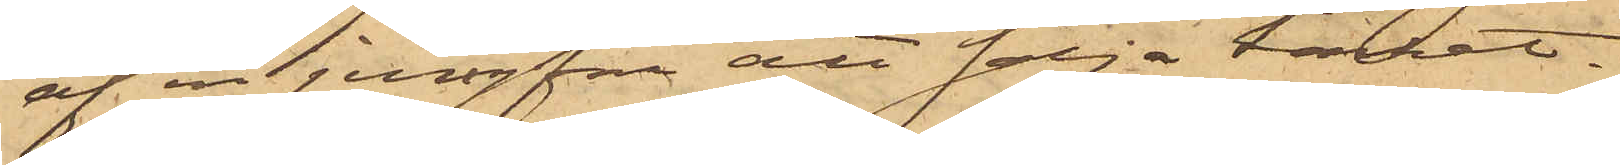af en jungru att sälja täcket.
